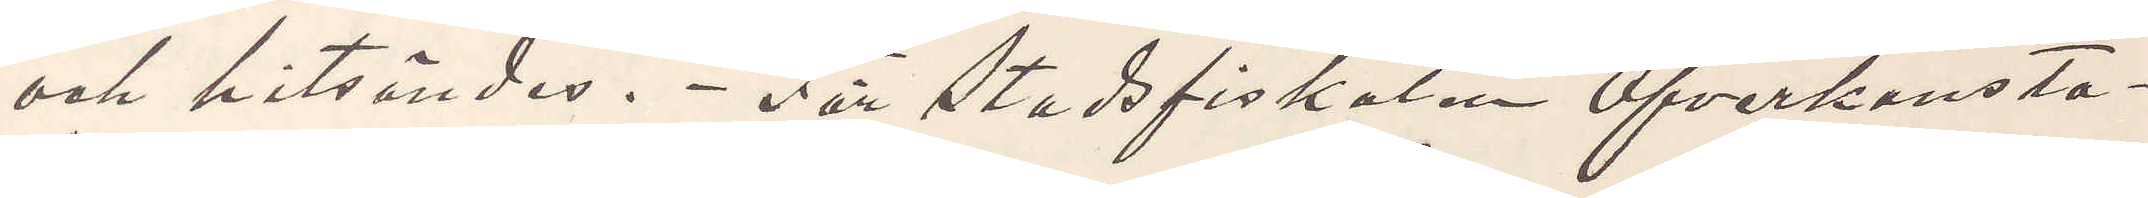och hitsändes. För Stadsfiskalen Öfverkonsta¬
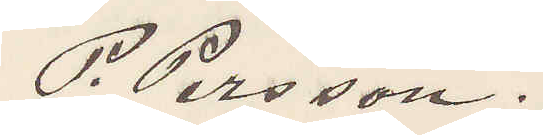P. Persson.
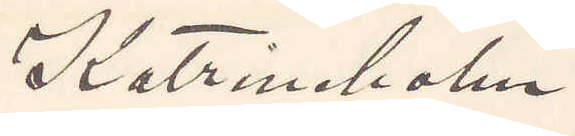Katrineholm.
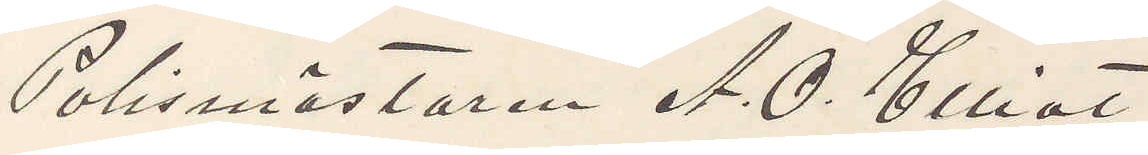Polismästaren A. O. Elliot
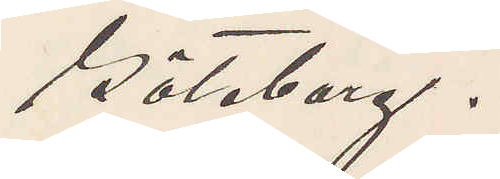Göteborg.
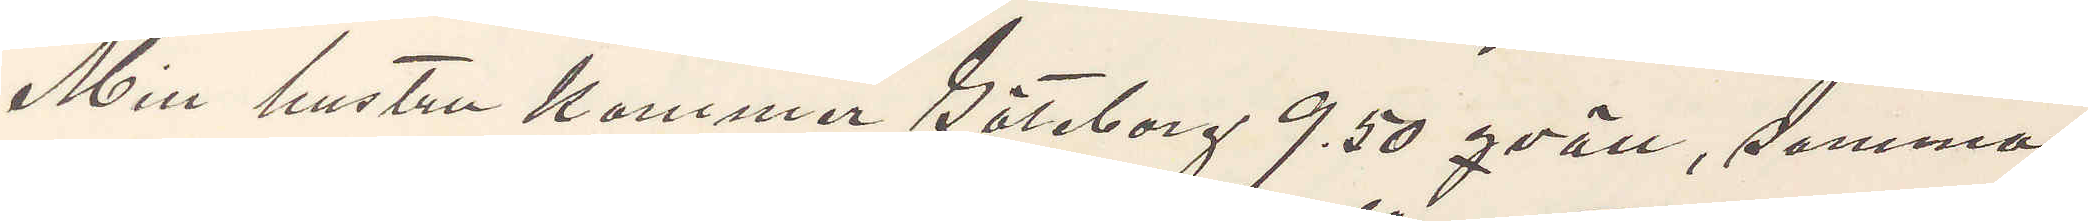Min hustru kommer Göteborg 9.50 qväll, samma
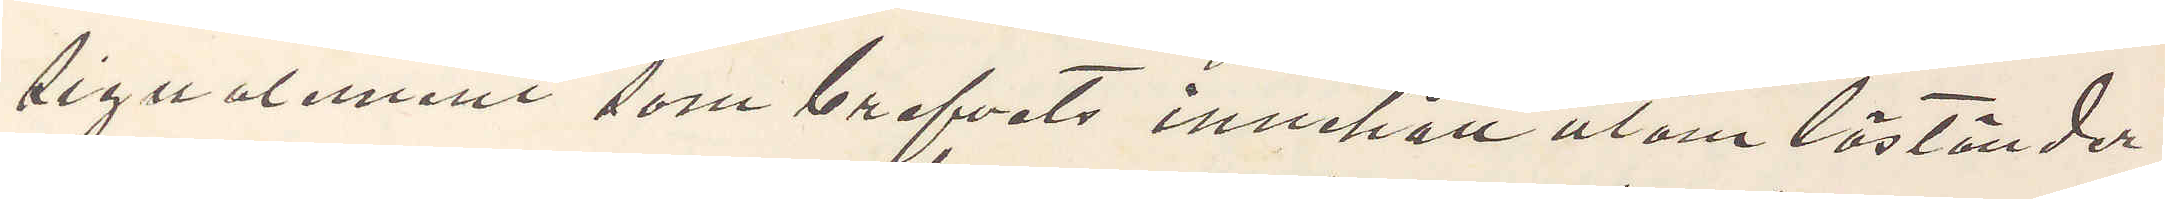signalement som brefvets innehåll utom löständer
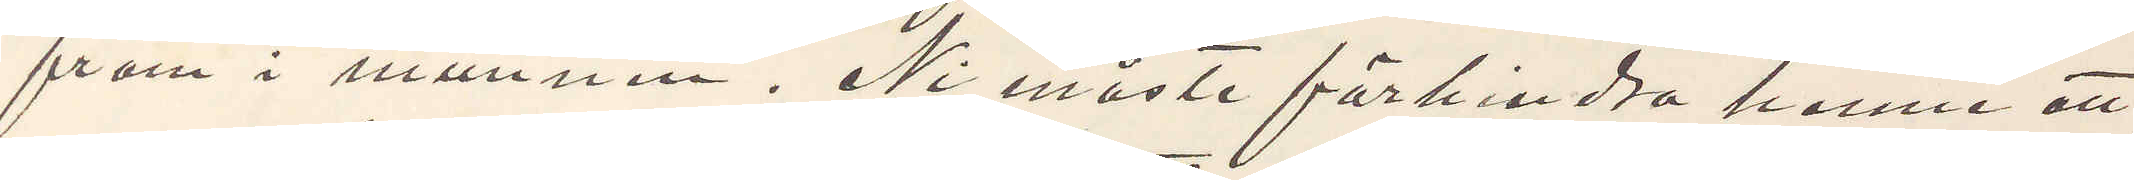fram i munnen. Ni måste förhindra henne att
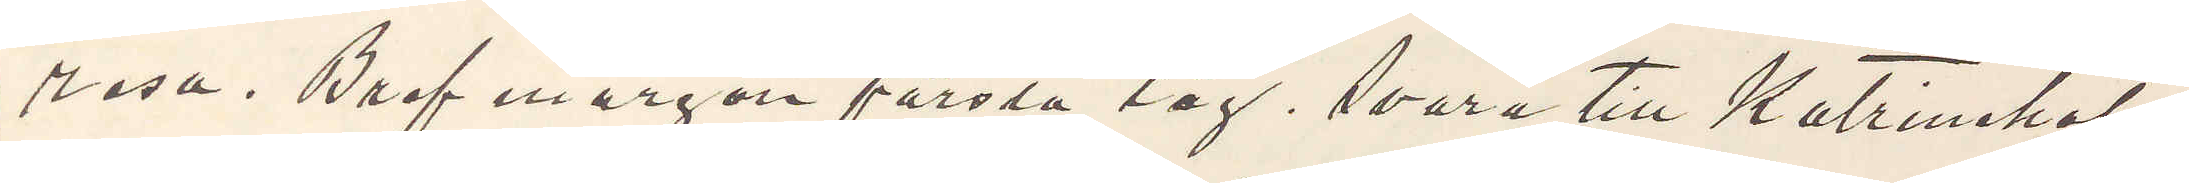resa. Bref morgon första tåg, svara till Katrineholm
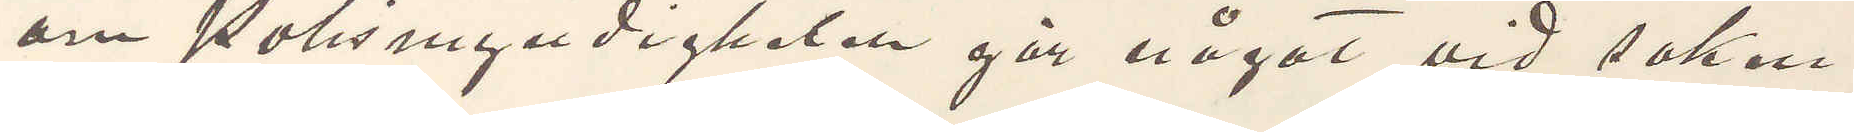om Polismyndigheten gör något vid saken.
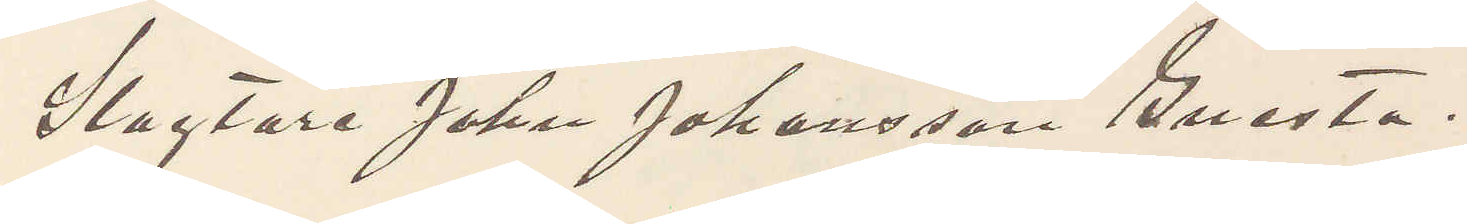Slagtare John Johansson Gnesta.
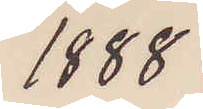1888
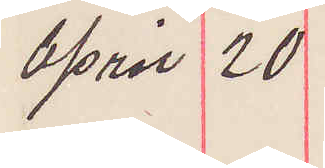April 20
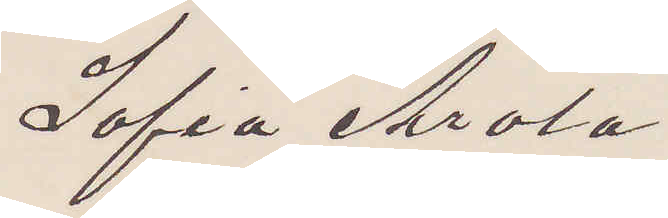Sofia Arola
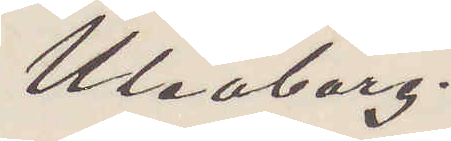Uleåborg.
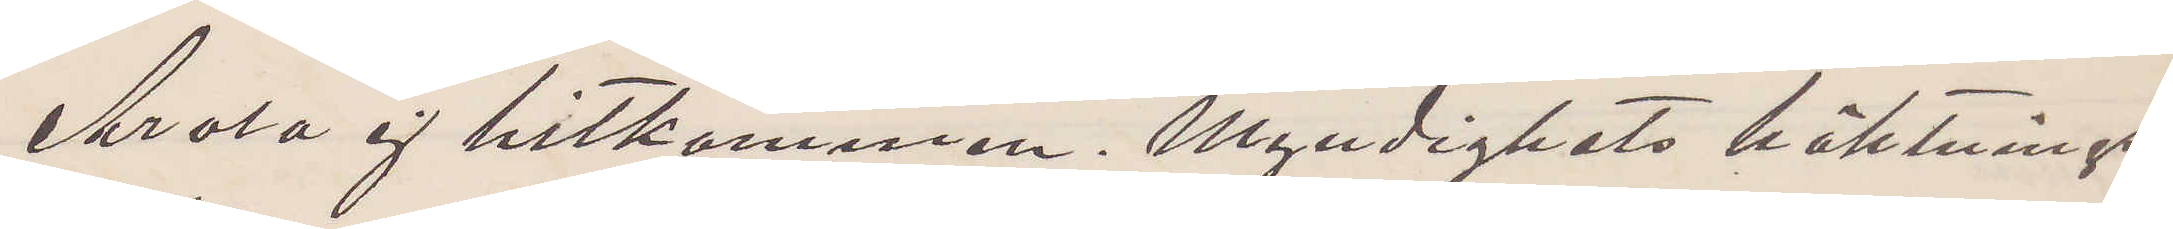Arola ej hitkommen. Myndighets häktnings¬
